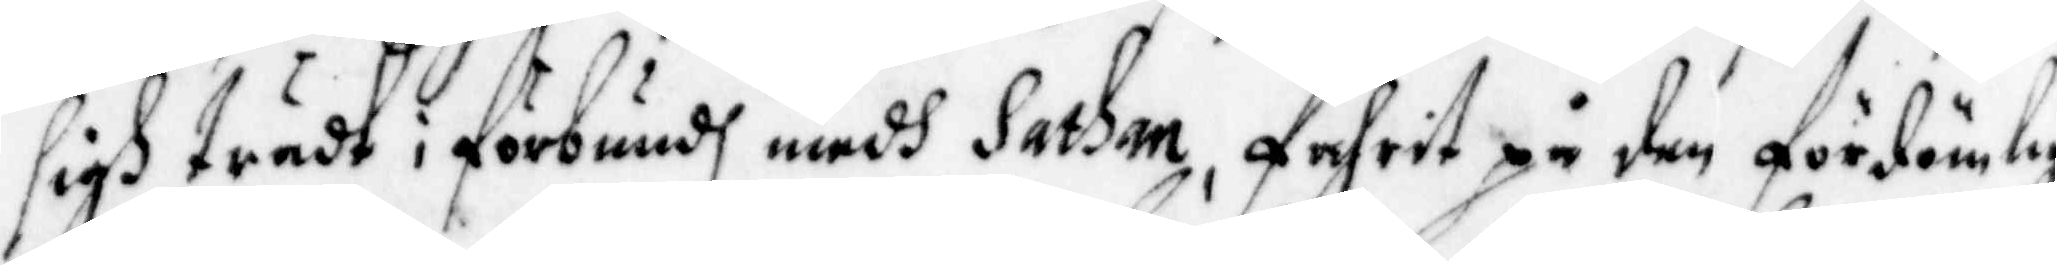sigh trädt i förbundh medh Sathan, fahrit på den fördömlig
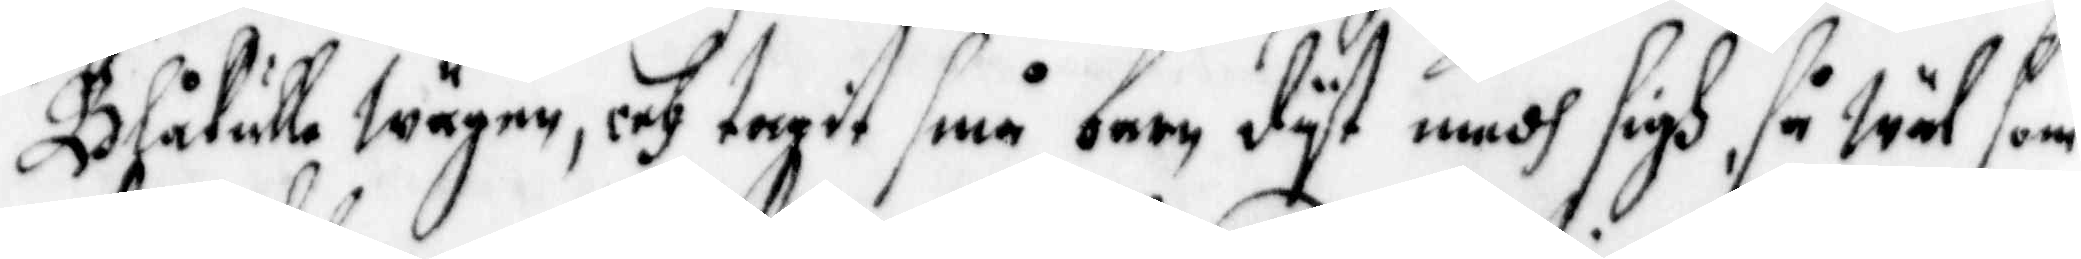Blåkulla Wägen, och tagit små barn dyt medh sigh, så wäl som
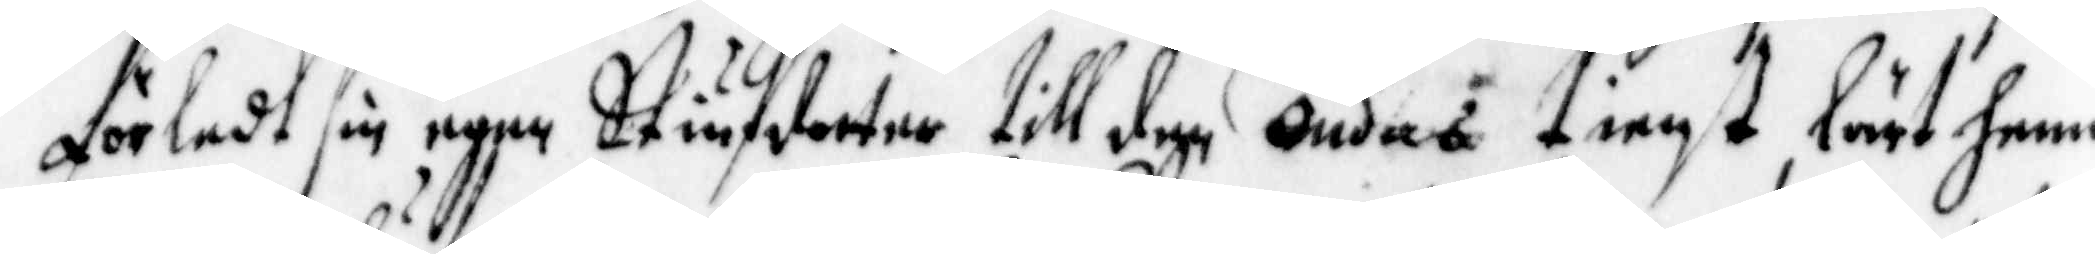förledt sin egen Stiufdotter till den ondas tienst, lärt henne
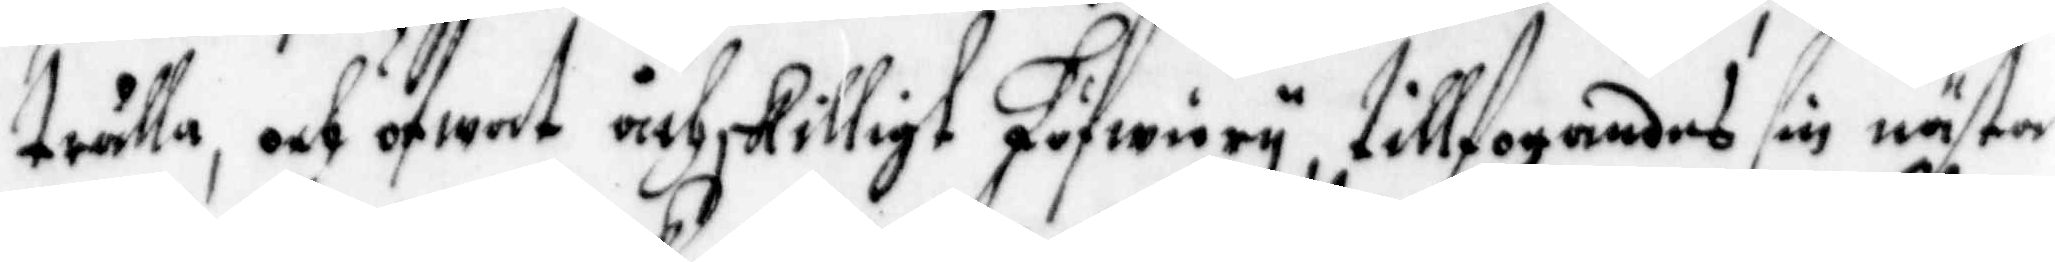trålla, och öfwat åthskilligt Löfwery, tillfogandes sin nästa
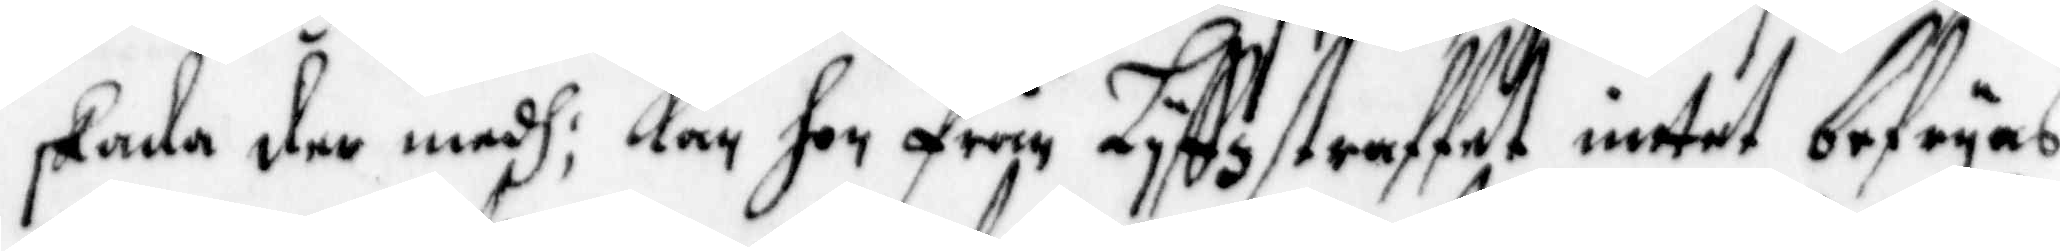skada der medh; Kan hon från Lyffzstraffet intet befryas,
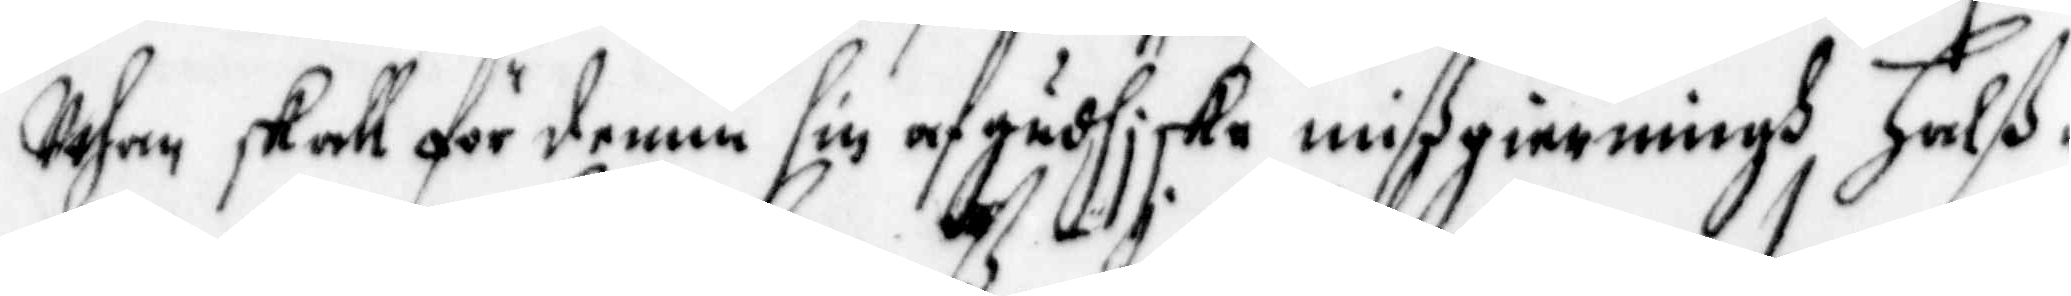uthan skall för denne sin afgudhiske mißgierningh Halß¬
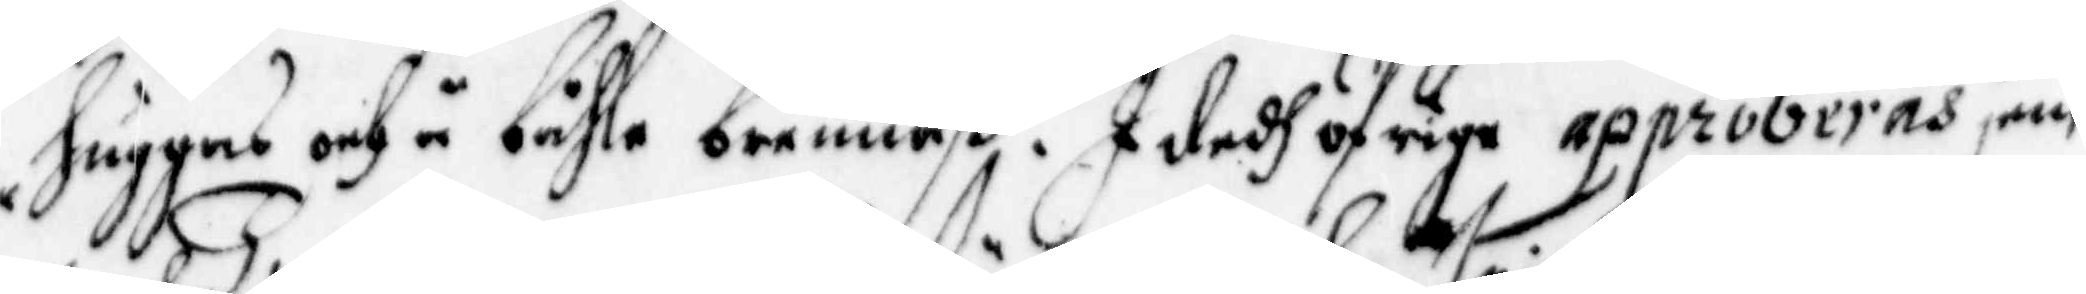huggas och å båhle brennaß. I dedh öfrige approberas jem¬
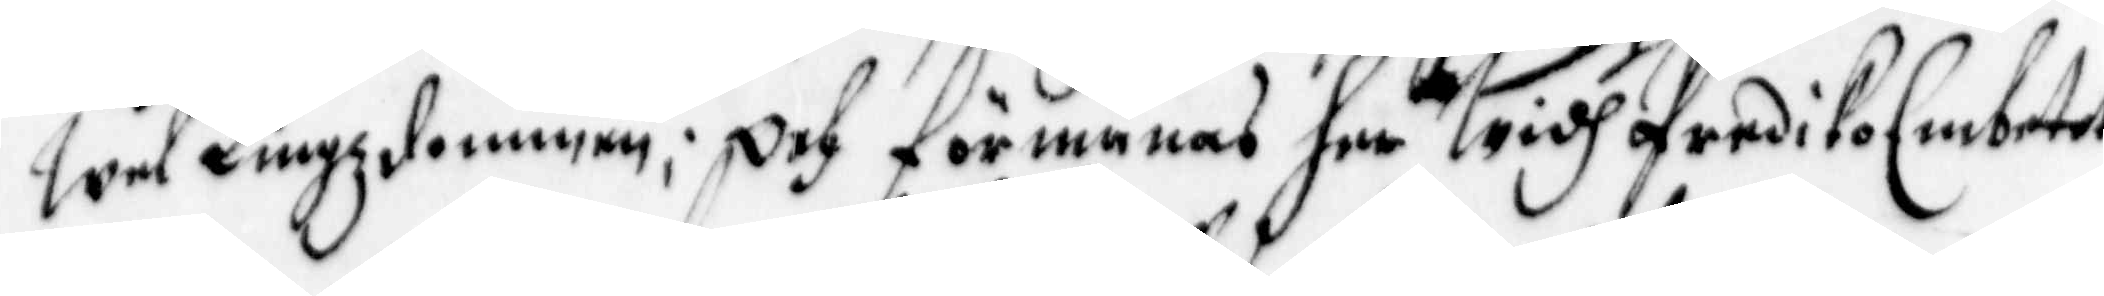wel Tingsdommen; Och förmanas her widh PredikoEmbetet
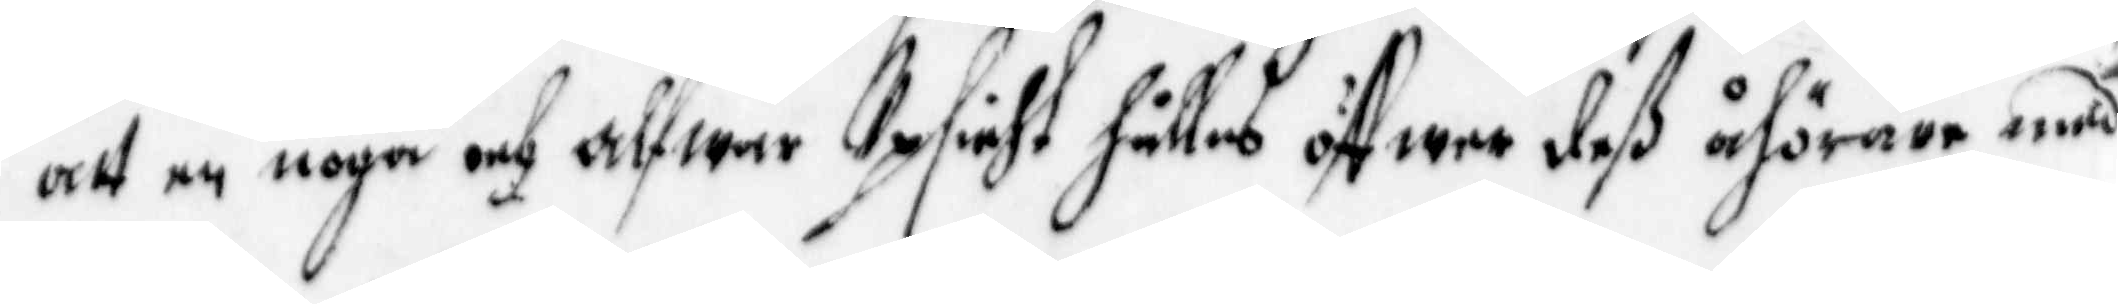att en noga och alfwar Upsicht hållas öffwer deß åhörare, med
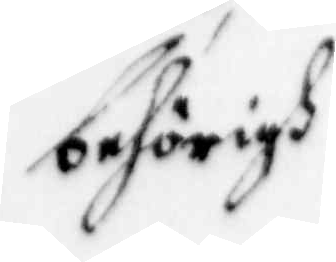behörigh
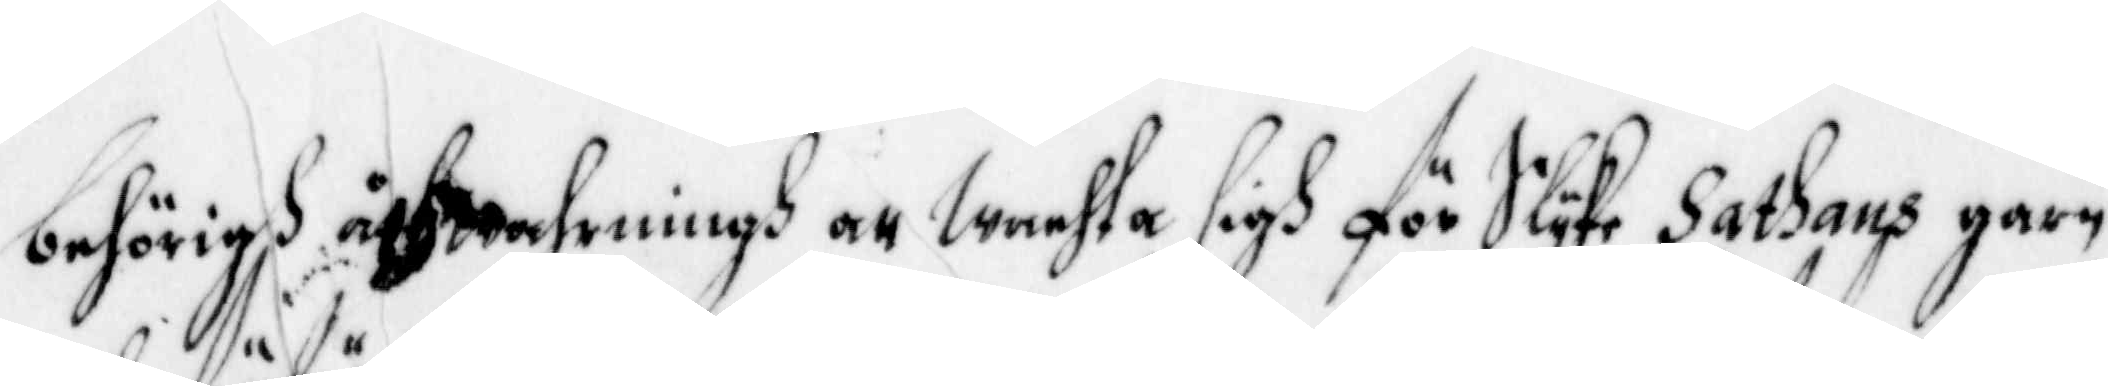behörigh åthwahrningh att Wachta sigh för Slyke Sathans garn
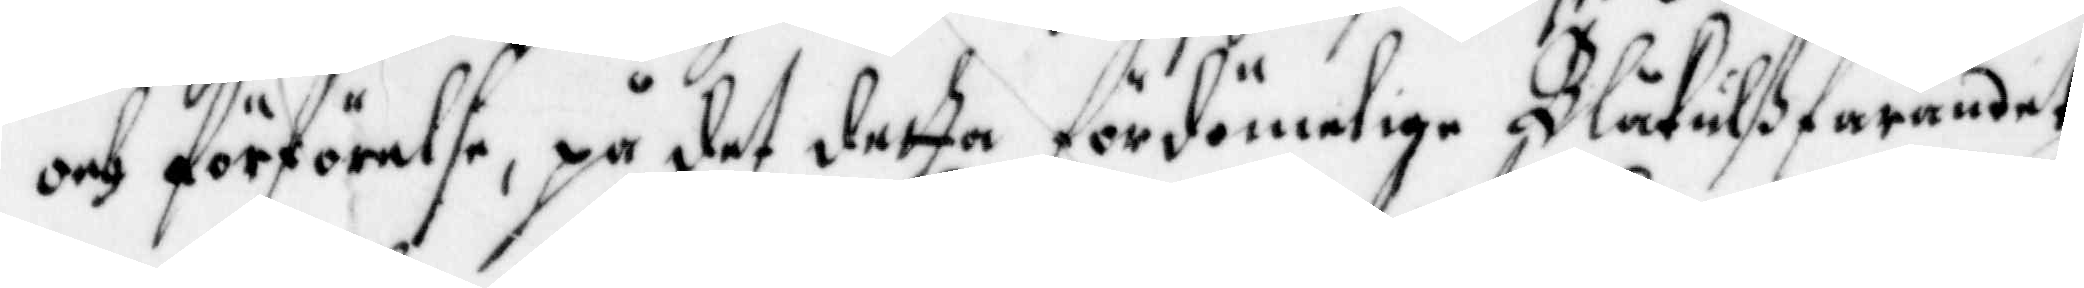och förförelse, på det detta fördömelige Blåkullßfarandet
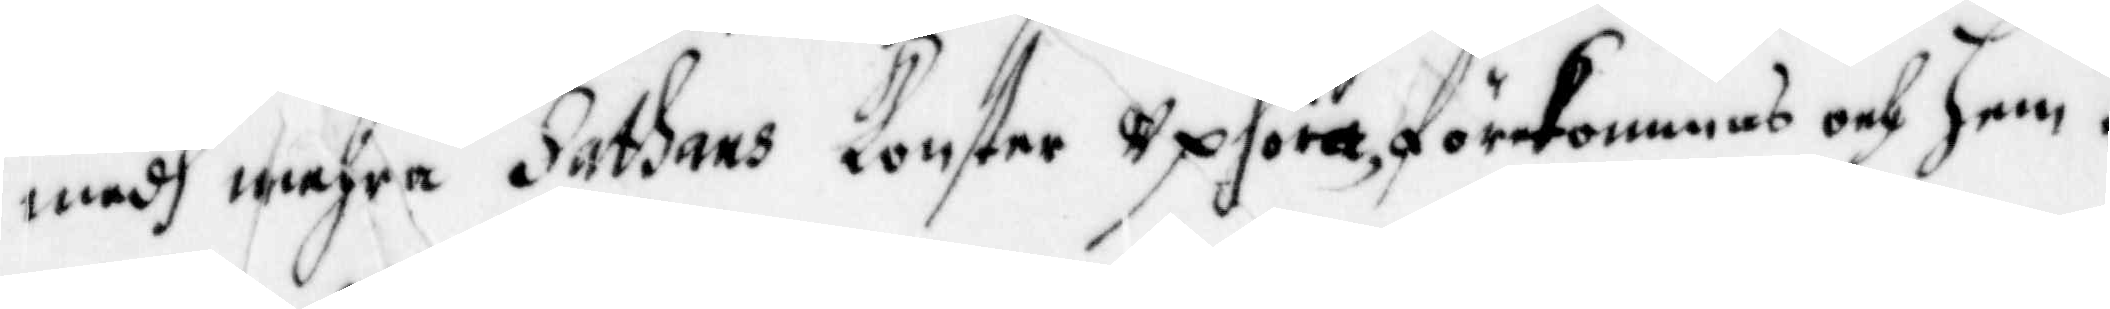medh mehra Sathans konster Uphöra, förekommas och hem¬
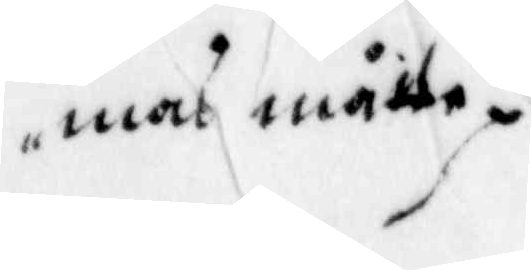mas måtte.
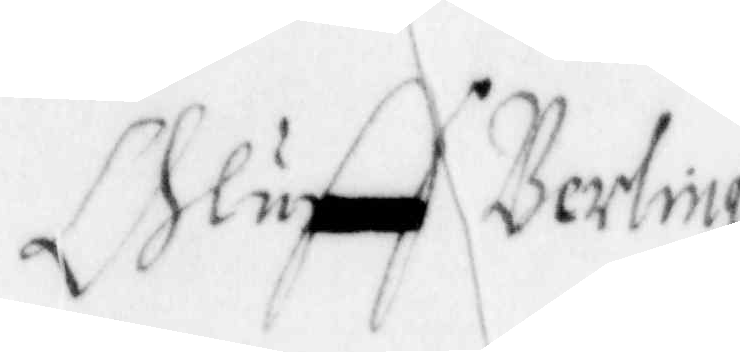Oluff Berling
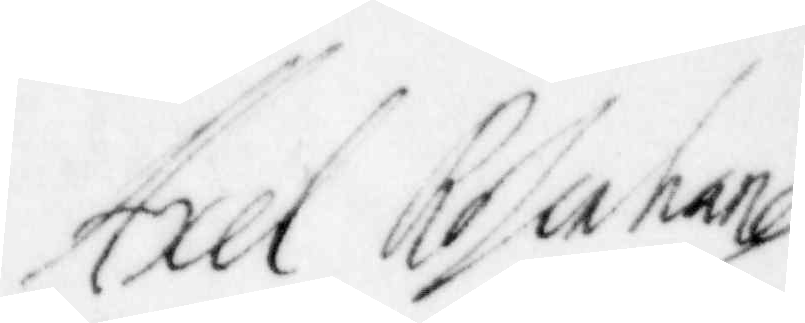Axel Rosenhane
